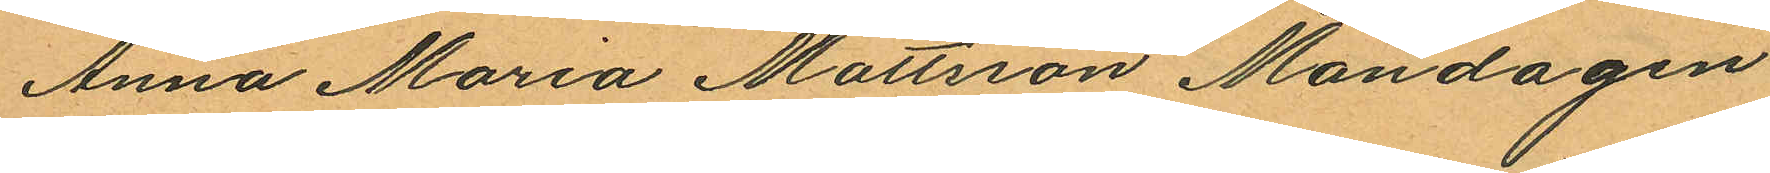Anna Maria Mattsson Måndagen
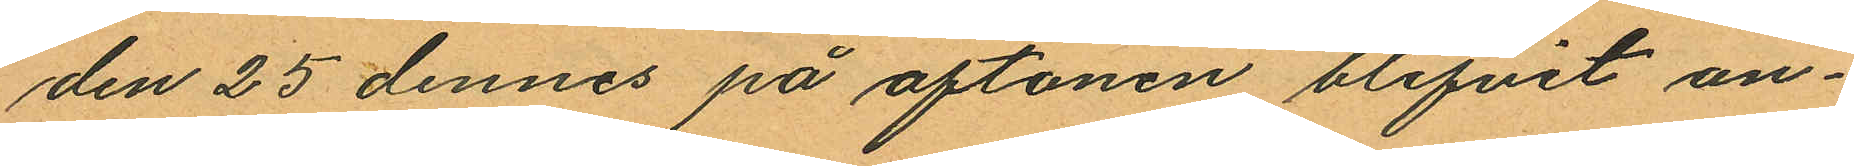den 25 dennes på aftonen blifvit an¬
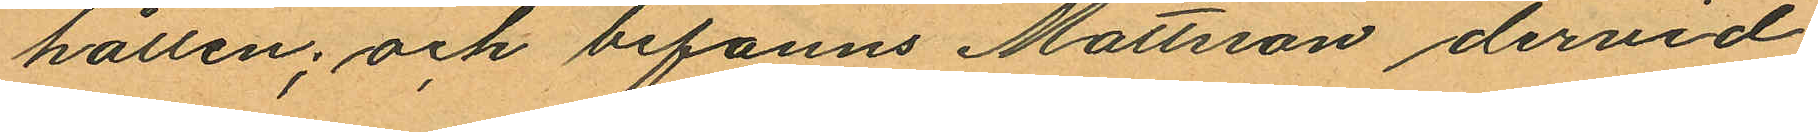hållen; och befanns Mattsson dervid
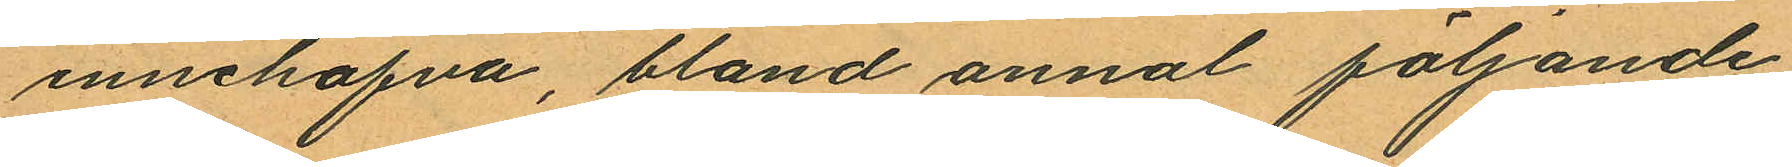innehafva, bland annat följande
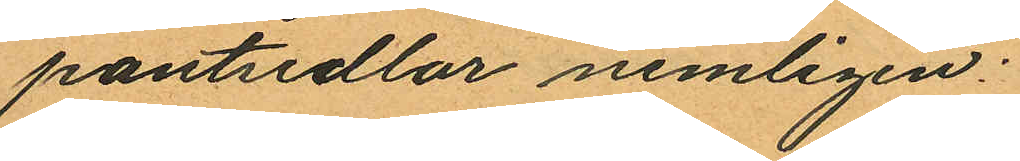pantsedlar nemligen:
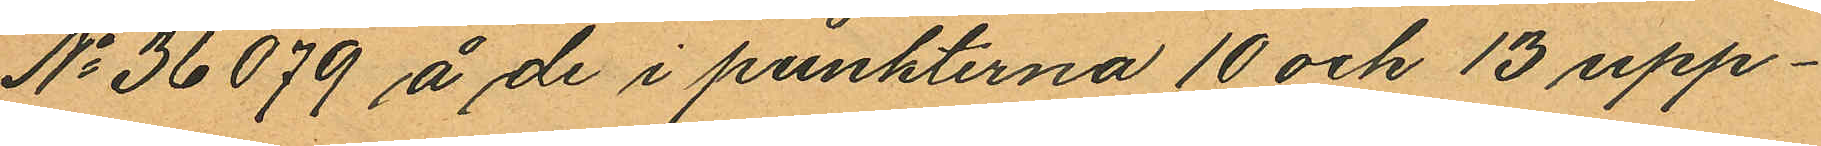No 36079 å de i punkterna 10 och 13 upp¬
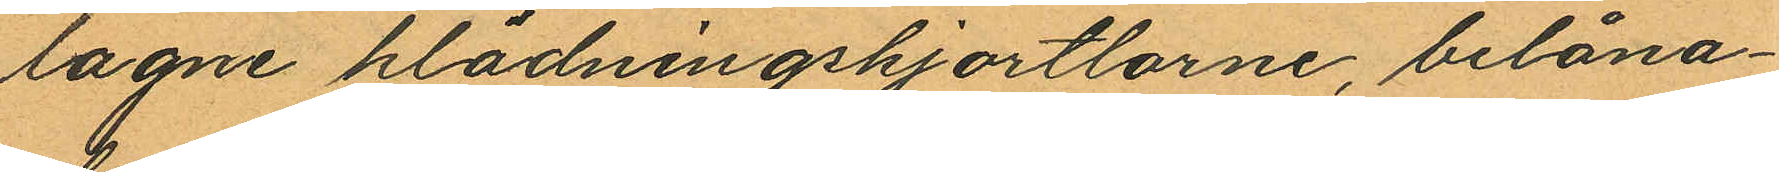lagne klädningskjortlarne, belåna¬
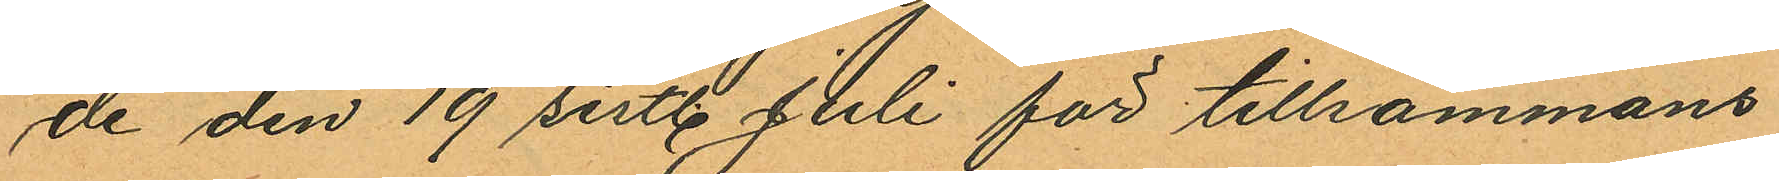de den 19 sistl. Juli för tillsammans
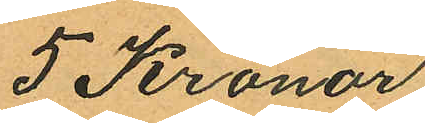5 Kronor
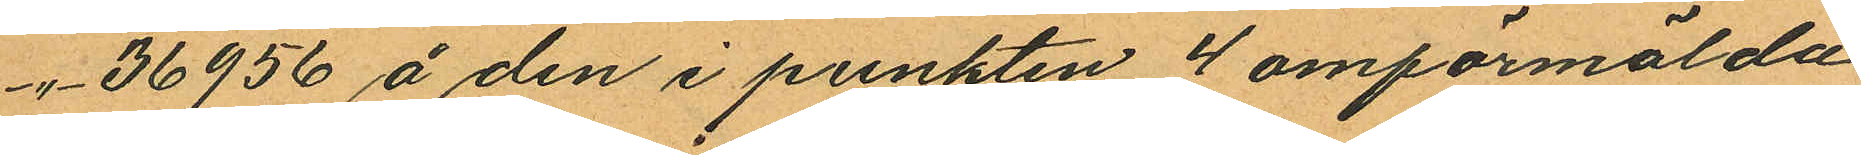-"- 36956 å den i punkten 4 omförmälda
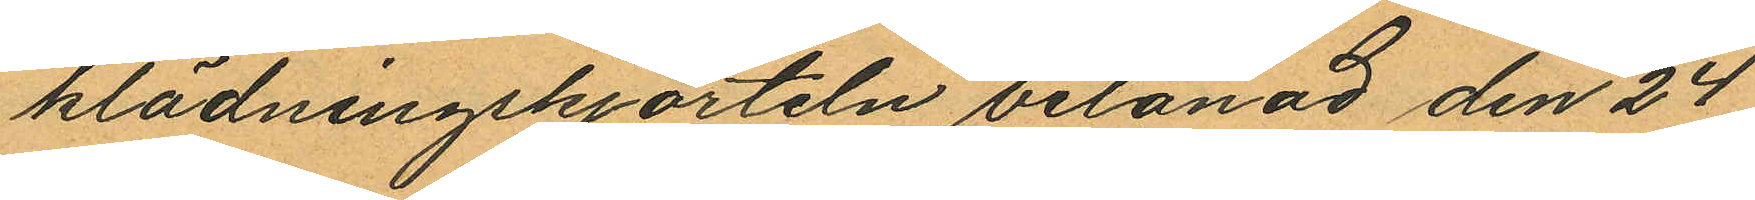klädningskjorteln belånad den 24
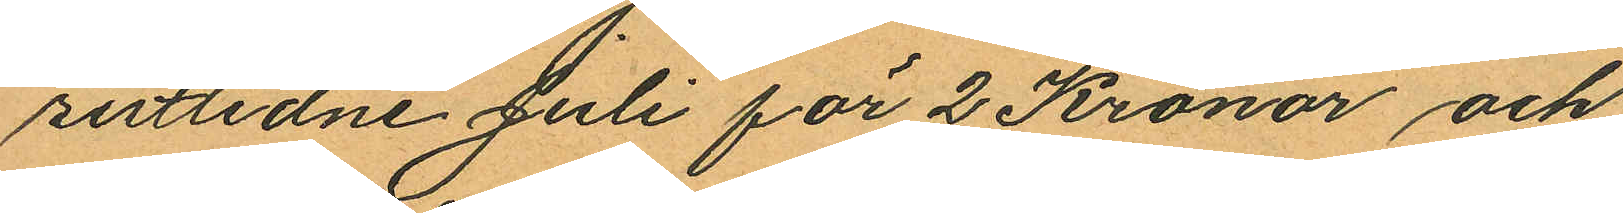sistlidne Juli för 2 Kronor och
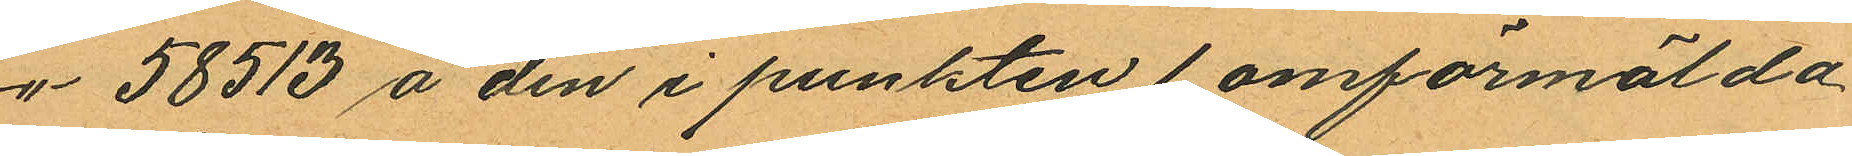-"-  58513 å den i punkten 1 omförmälda
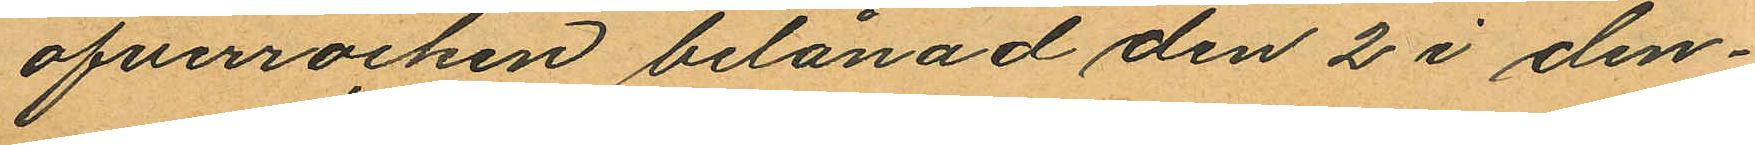öfverrocken belånad den 2 i den¬
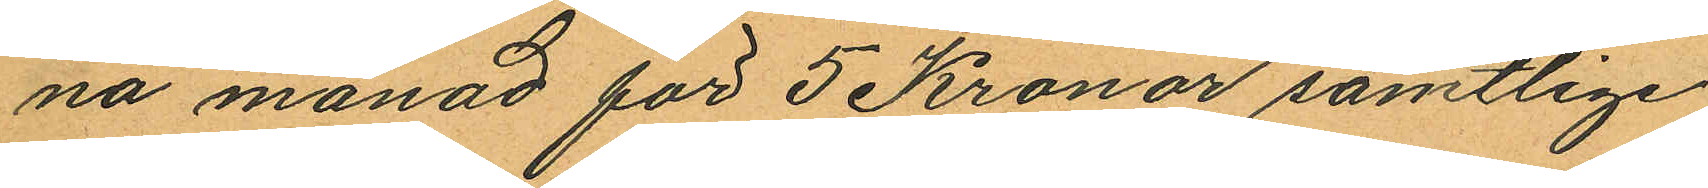na månad för 5 Kronor samtlige
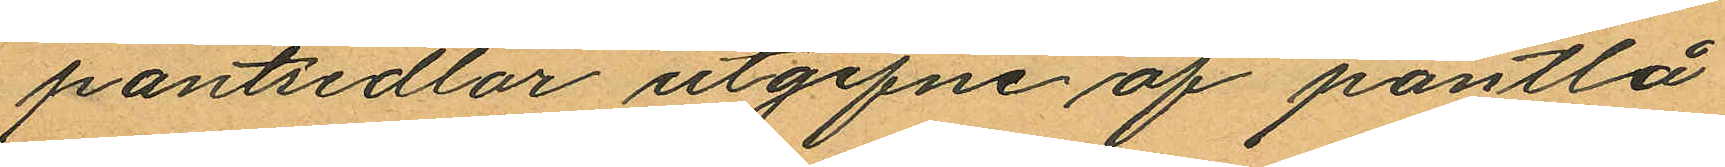pantsedlar utgifne af pantlå
